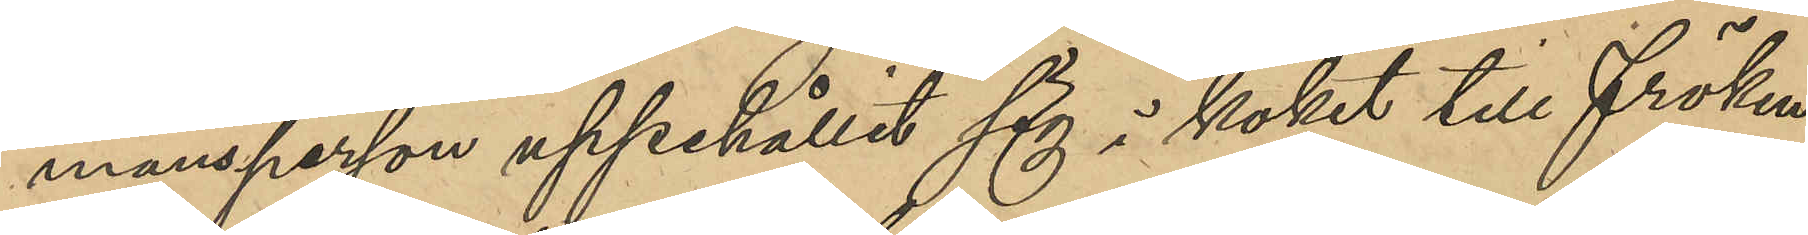mansperson uppehållit sig i köket till Fröken
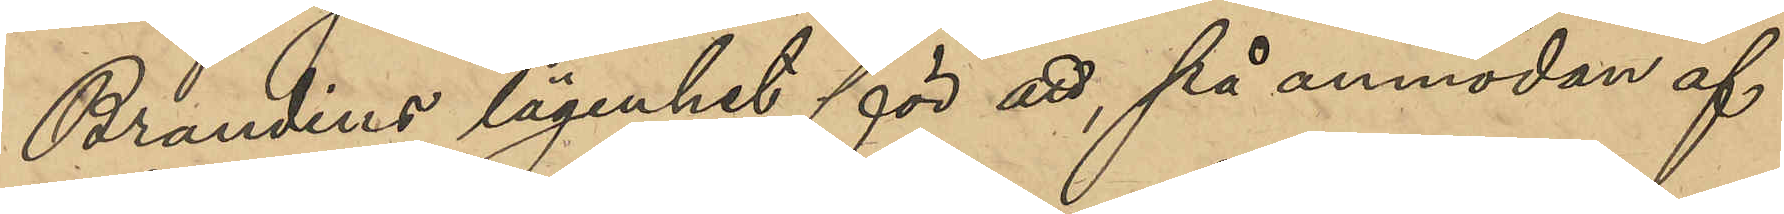Brandins lägenhet för att, på anmodan af
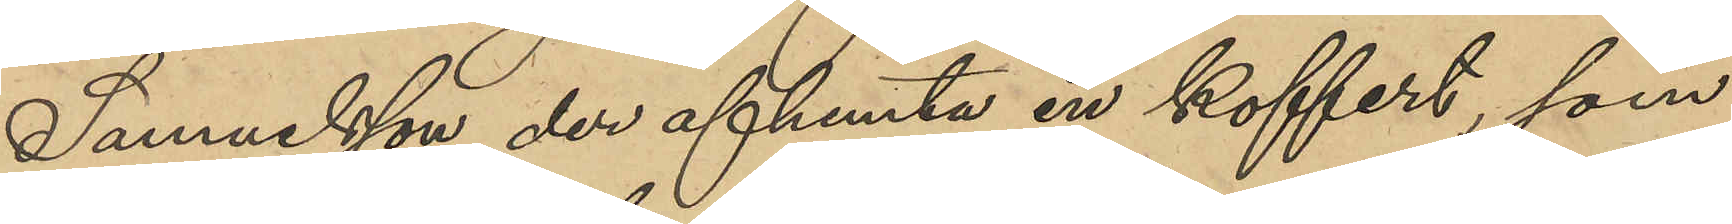Samuelsson der afhemta en koffert, som
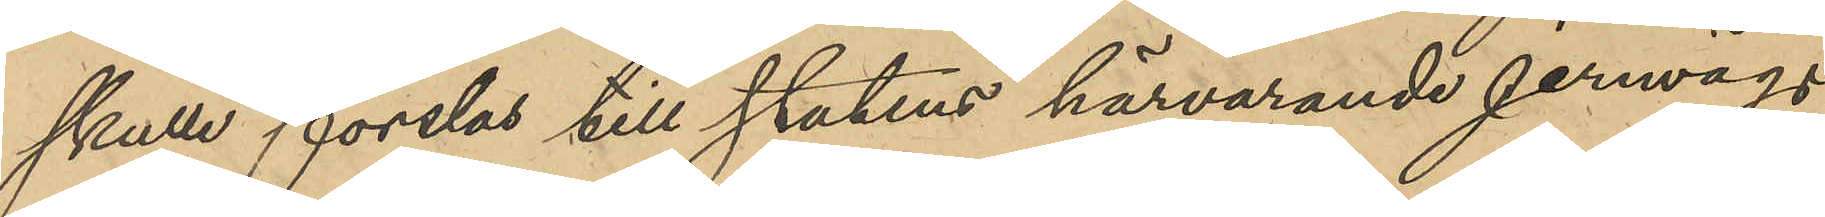skulle forslas till statens härvarande jernvägs¬
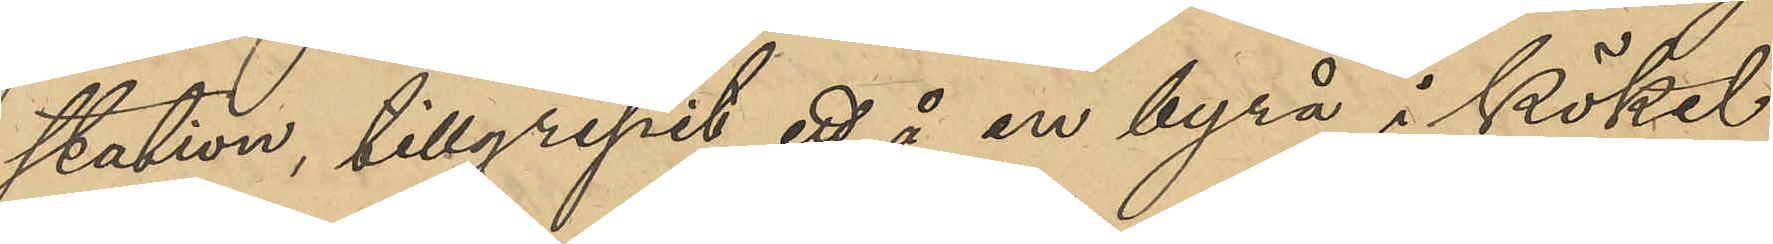station, tillgripit ett å en byrå i köket
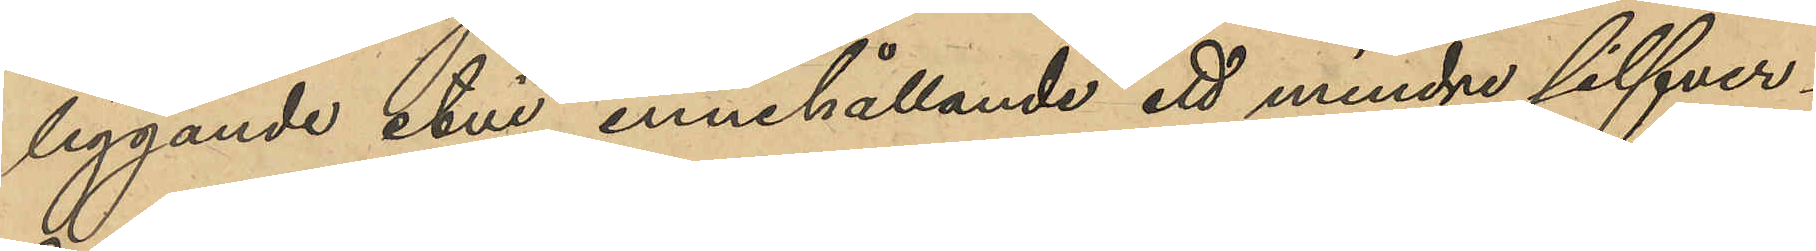liggande etui innehållande ett mindre silfver¬
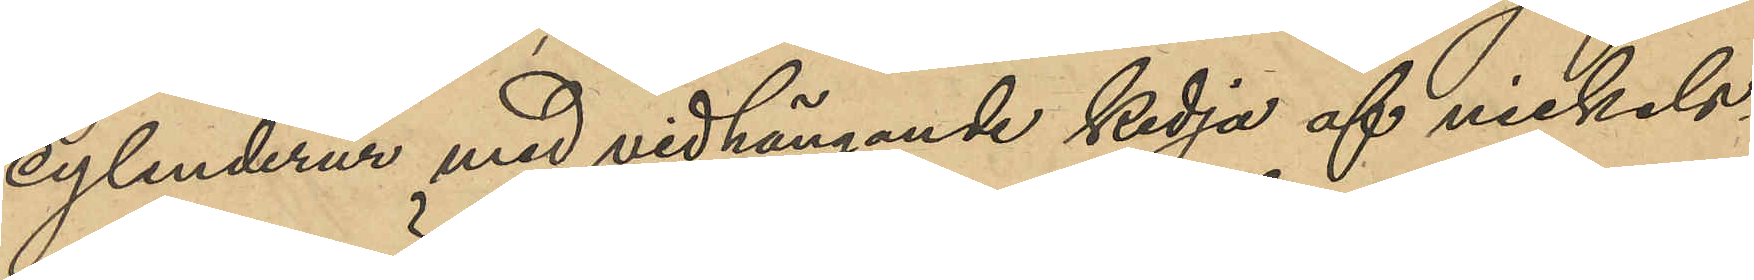cylinderur med vidhängande kedja af nickels¬
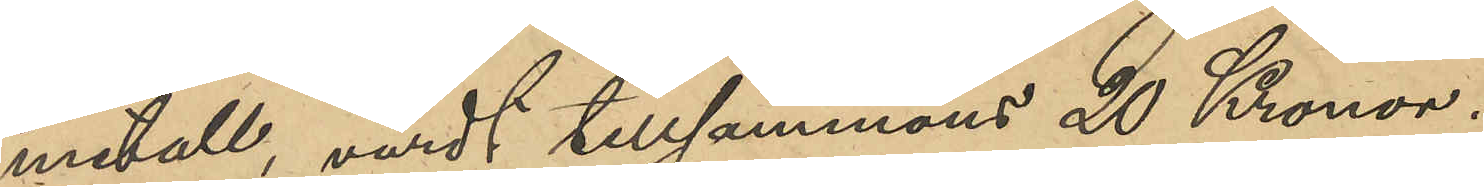metall, värdt tillsammans 20 Kronor.
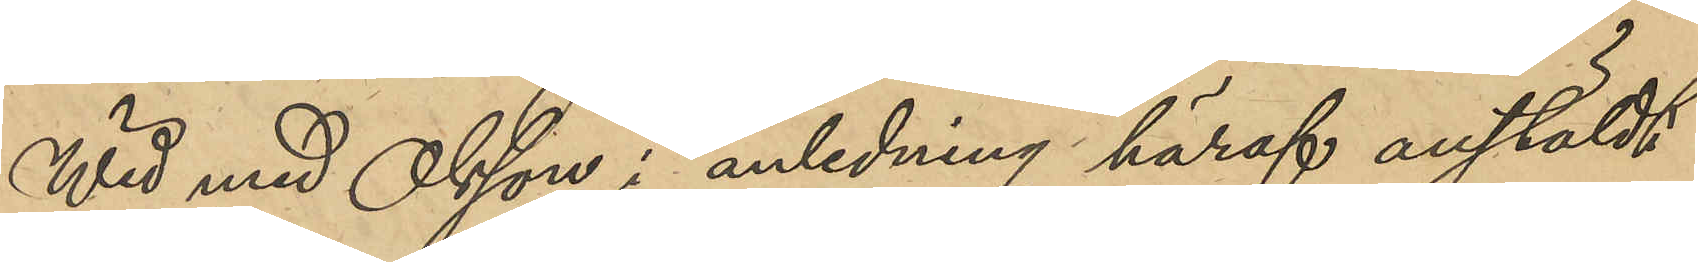Wid med Olsson i anledning häraf anstäldt
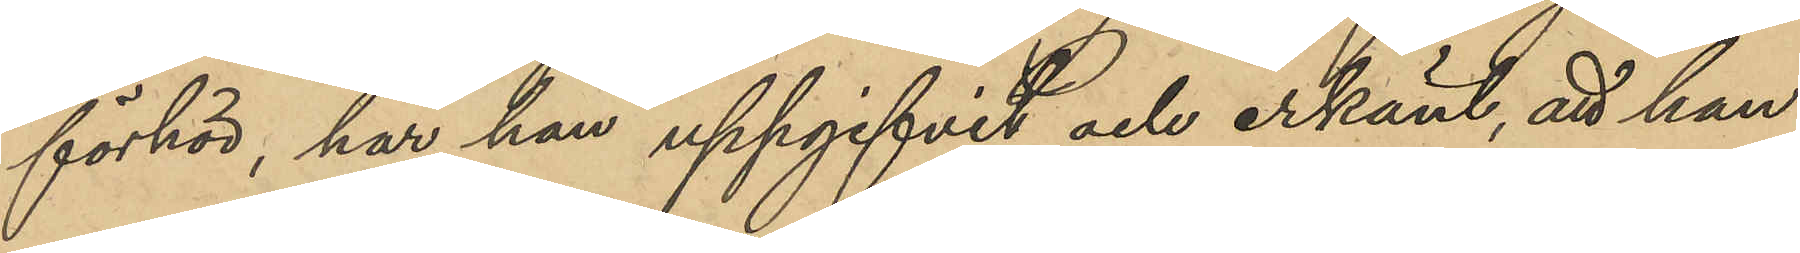förhör har han uppgifvit och erkänt, att han
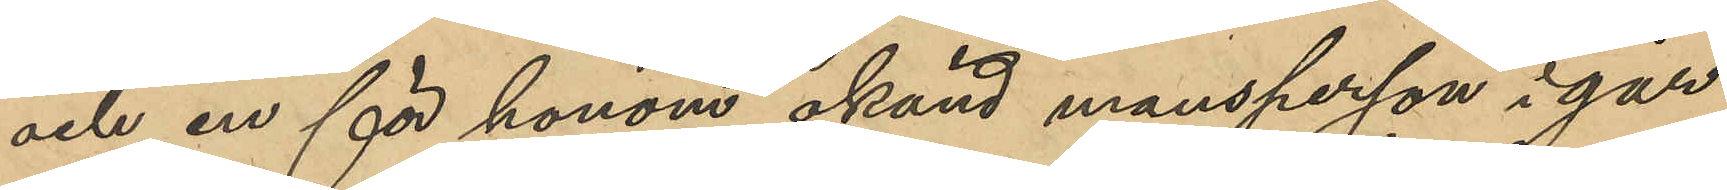och en för honom okänd mansperson i går
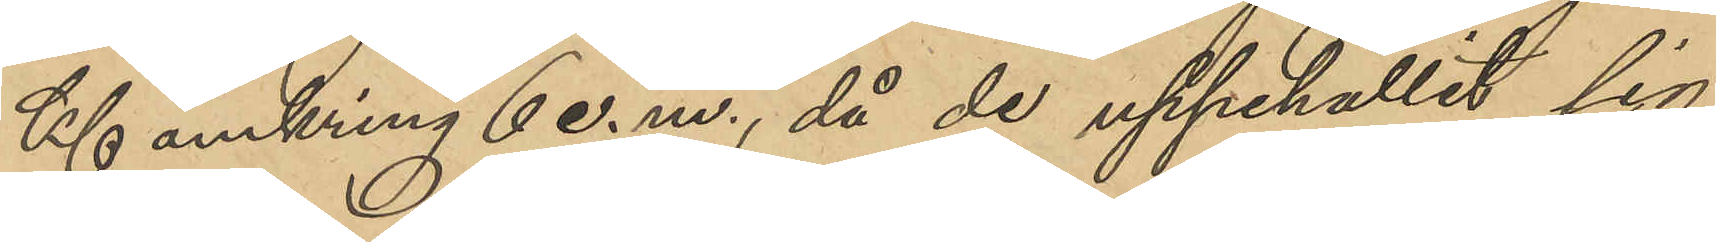Kl omkring 6 e. m., då de uppehållit sig
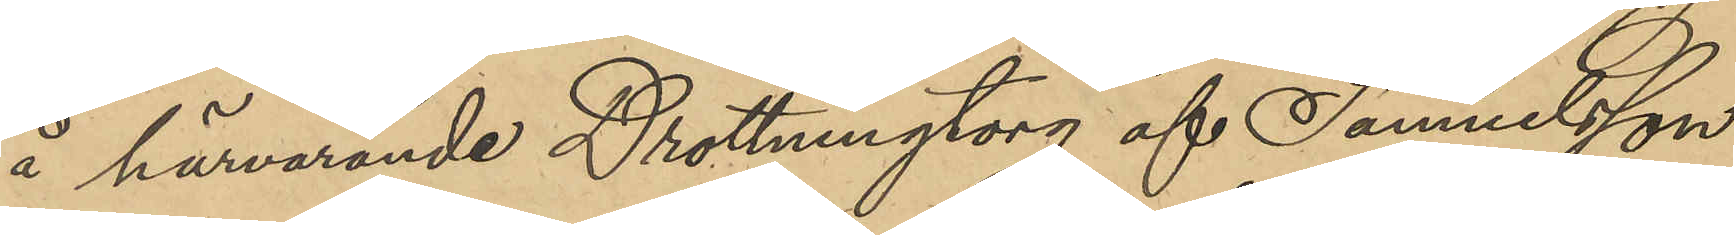å härvarande Drottningtorg af Samuelsson
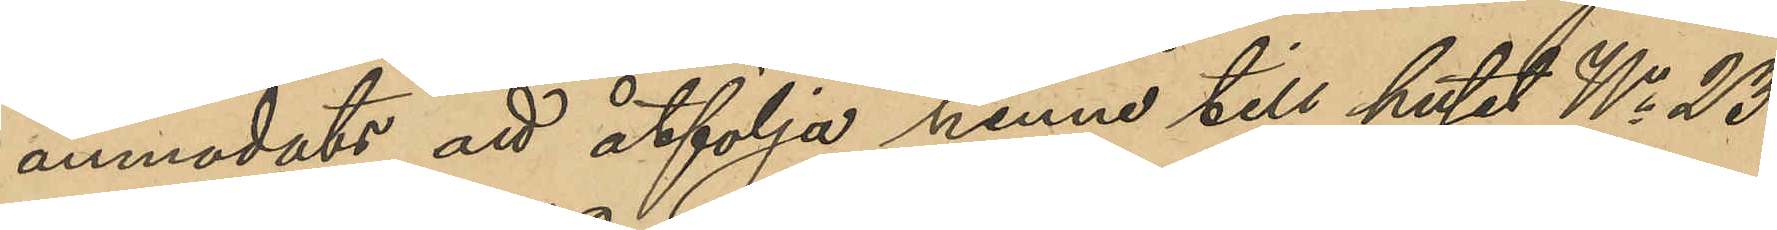anmodats att åtfölja henne till huset No 23
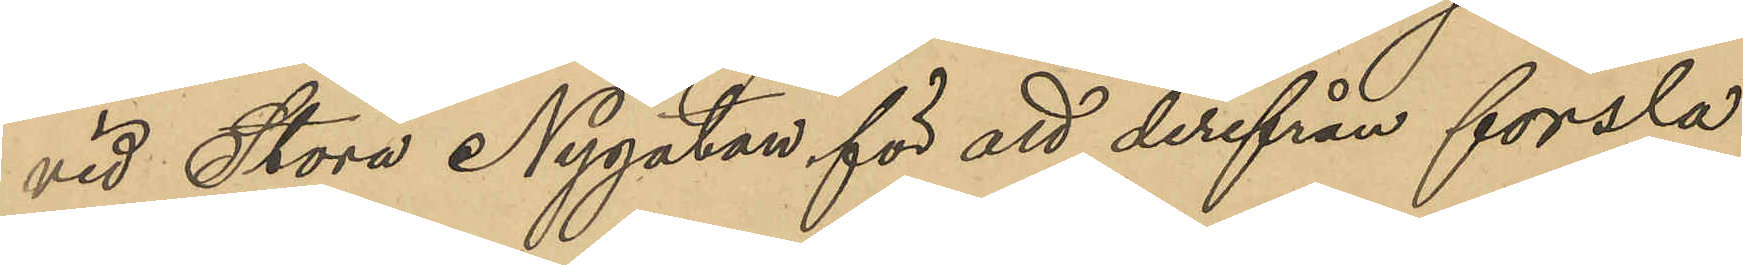vid Stora Nygatan för att derifrån forsla
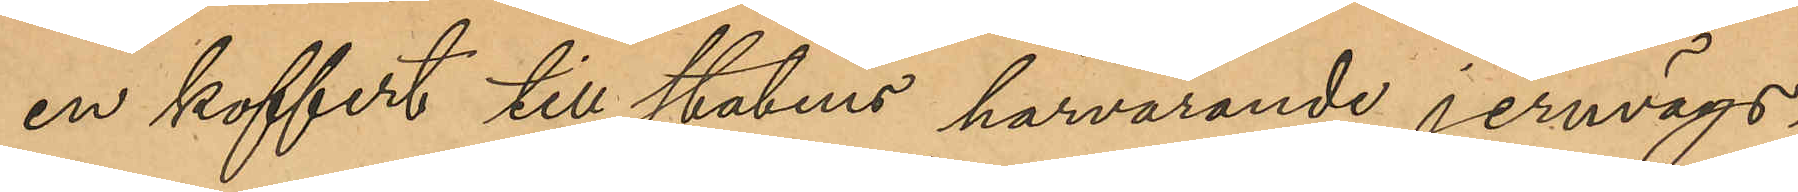en koffert till statens härvarande jernvägs¬
